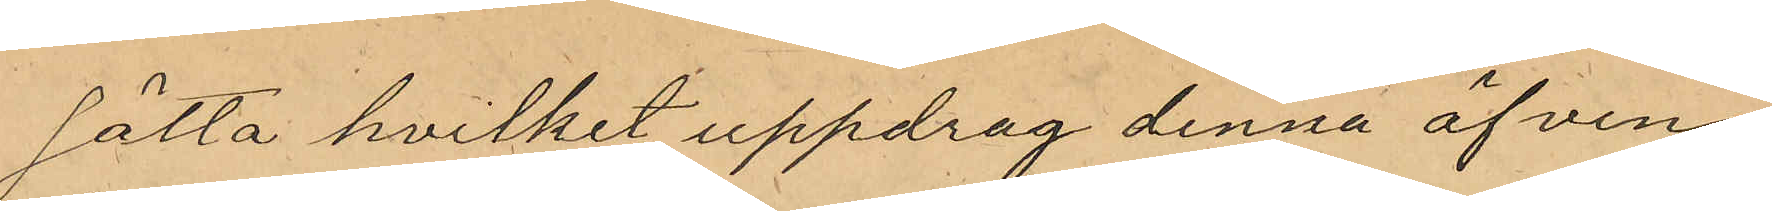sätta hvilket uppdrag denna äfven
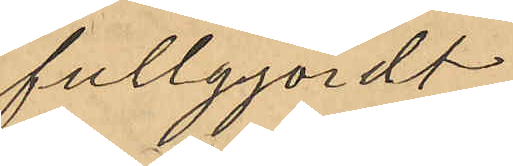fullgjordt
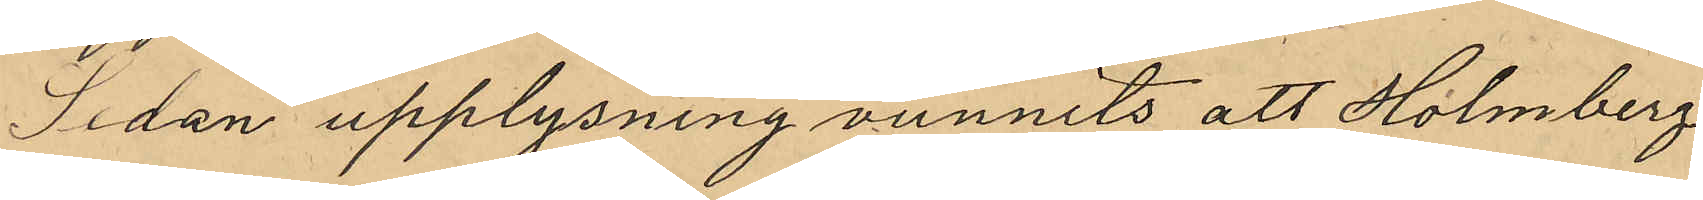Sedan upplysning vunnits att Holmberg
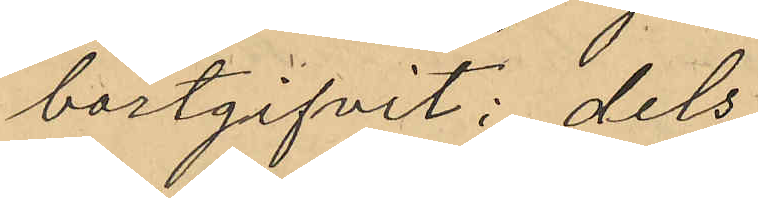bortgifvit: dels
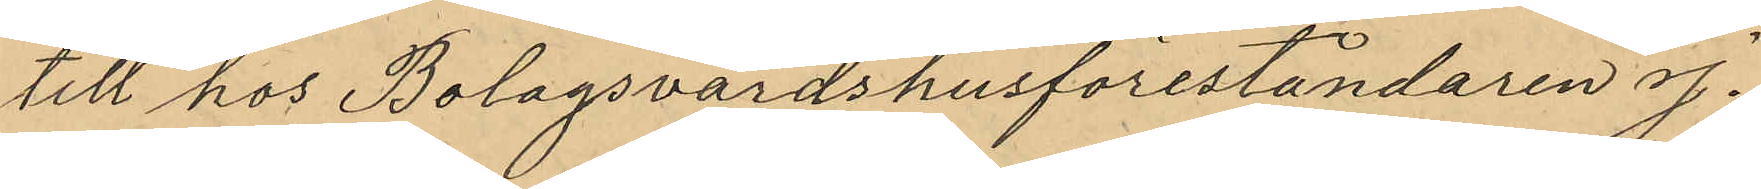till hos Bolagsvärdshusföreståndaren J.
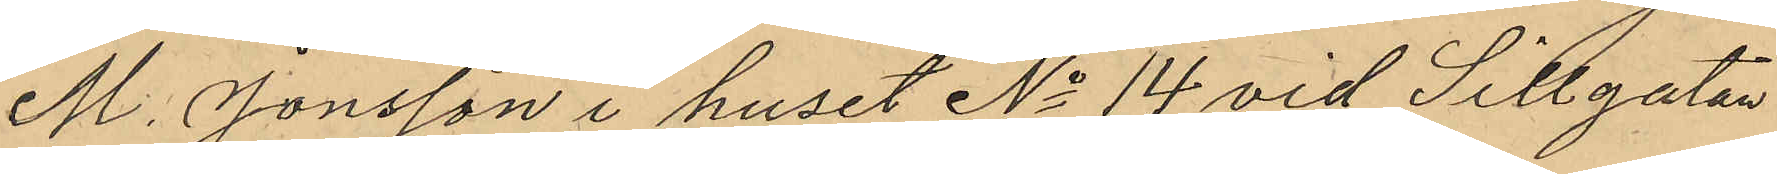M. Jonsson i huset No 14 vid Sillgatan
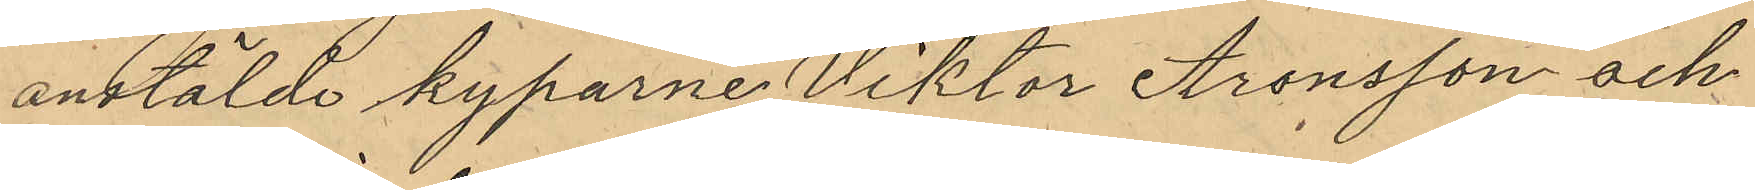anstälde kyparne Viktor Aronsson och
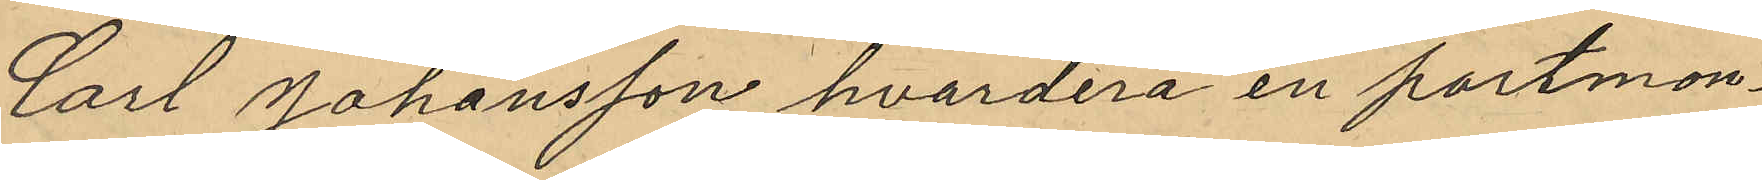Carl Johansson hvardera en portmon¬
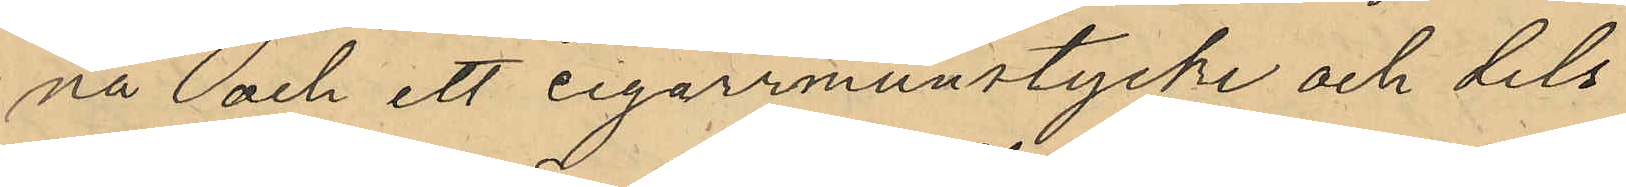nä och ett cigarrmunstycke och dels
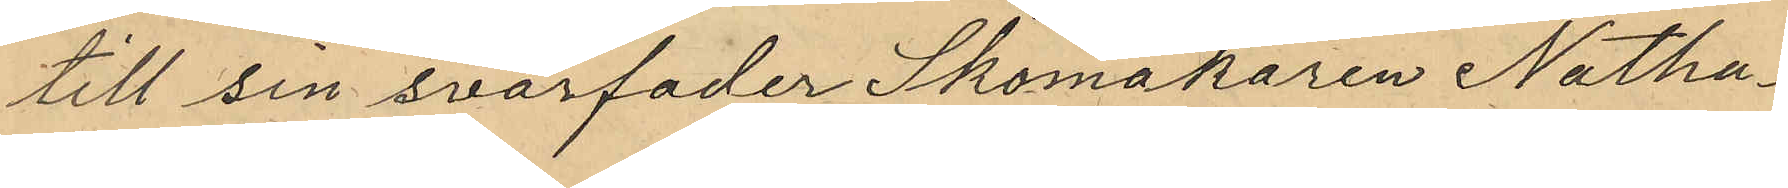till sin svärfader Skomakaren Natha¬
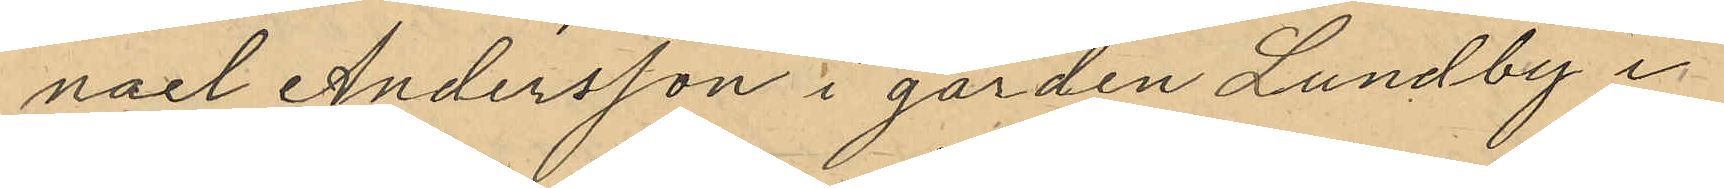nael Andersson i gården Lundby i
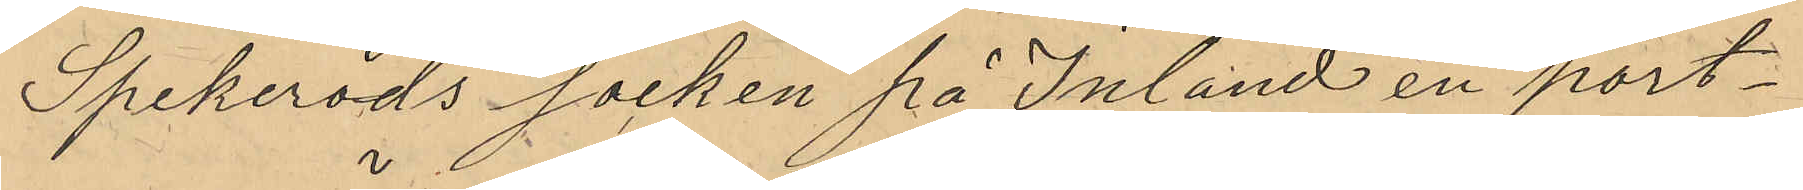Spekeröds socken på Inland en port¬
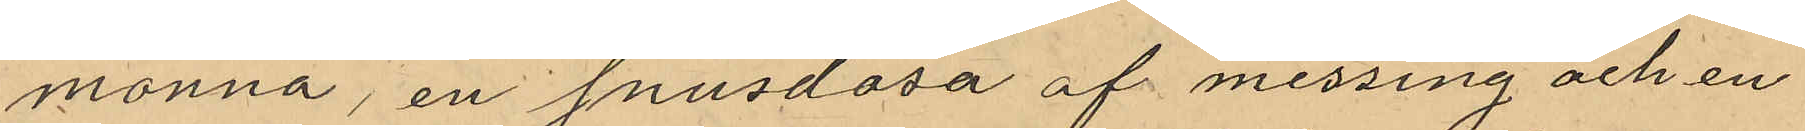monnä, en snusdosa af messing och en
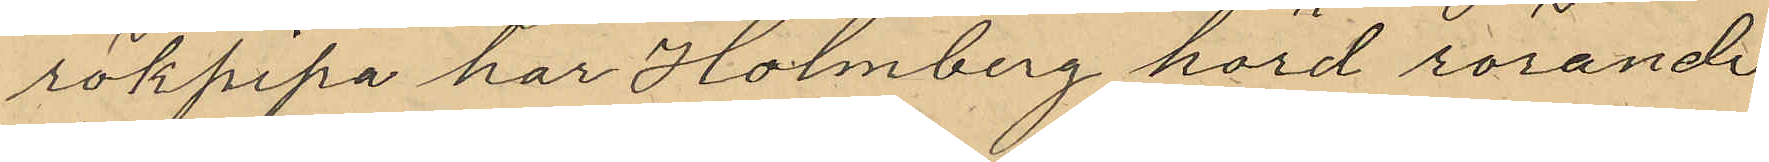rökpipa har Holmberg hörd rörande
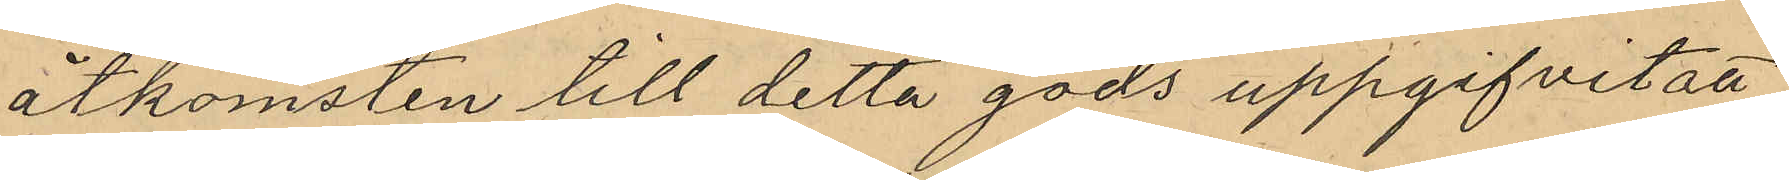åtkomsten till detta gods uppgifvit att
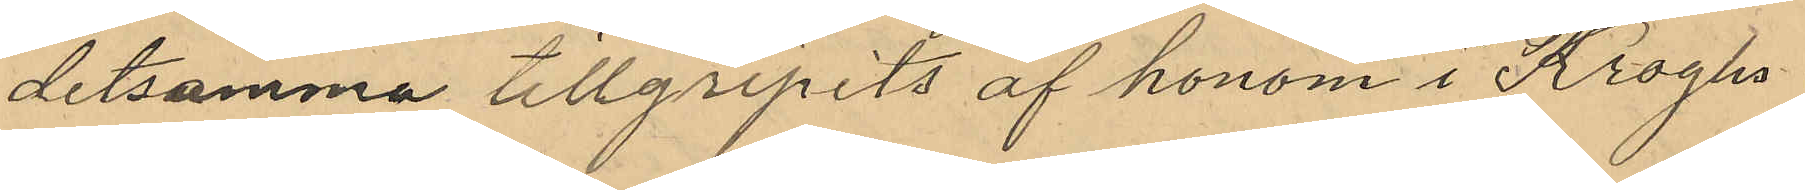detsamma tillgripits af honom i Kroghs
